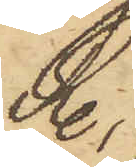R.,
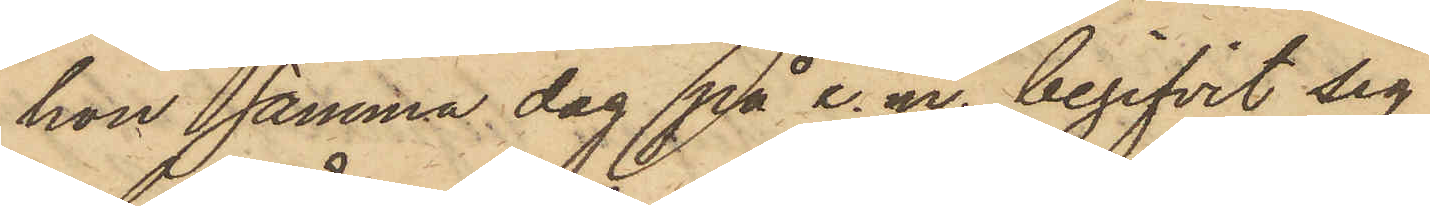hon samma dag på e. m. begifvit sig
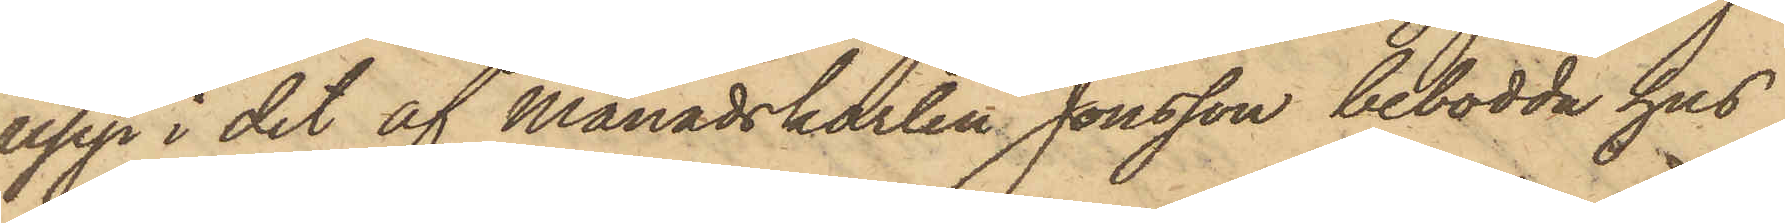upp i det af Månadskarlen Jonsson bebodda hus
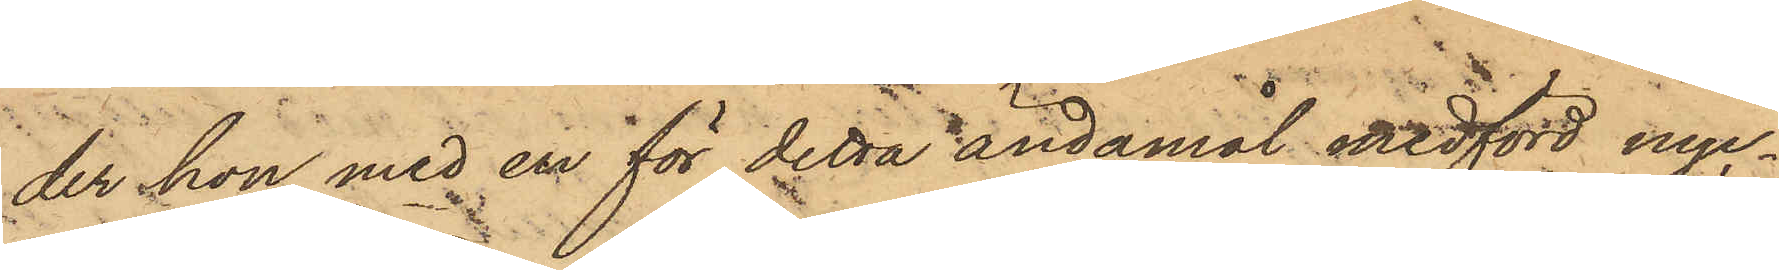der hon med en för detta ändamål medförd nyc¬
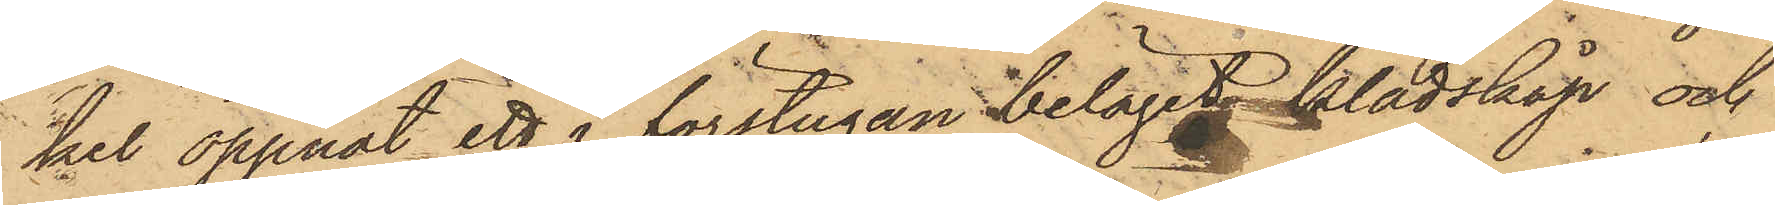kel öppnat ett i förstugan beläget klädskåp och
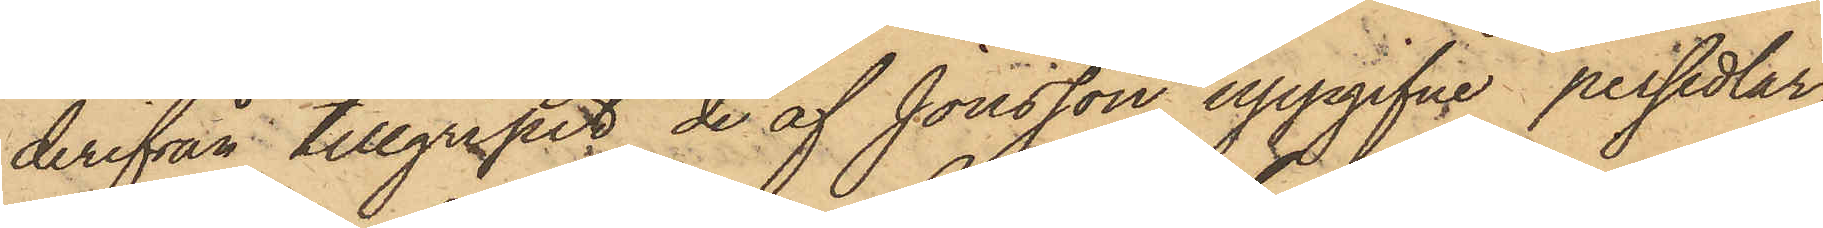derifrån tillgripit de af Jonsson uppgifne persedlar¬
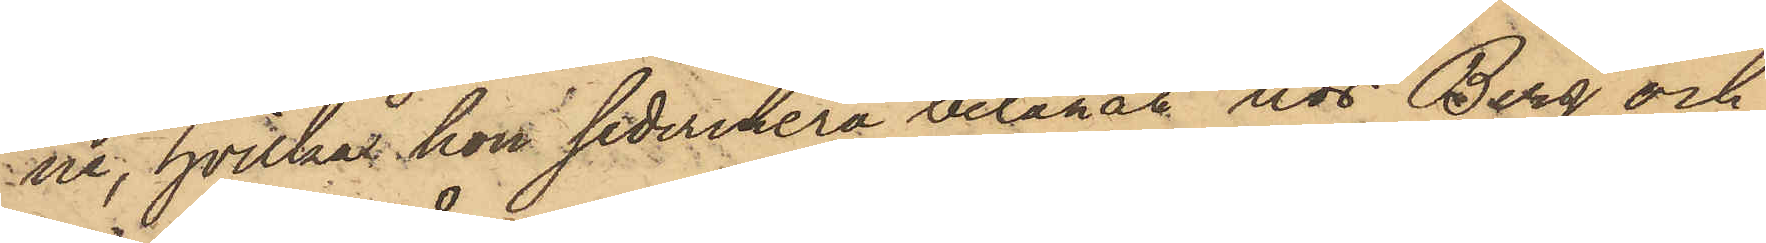ne, hvilka hon sedermera belånat hos Berg och
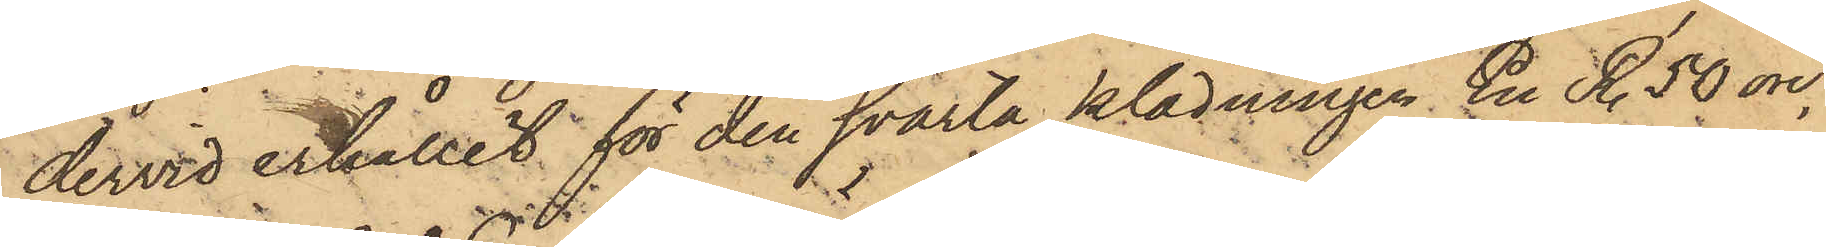dervid erhållit för den svarta klädningen En R. 50 öre,
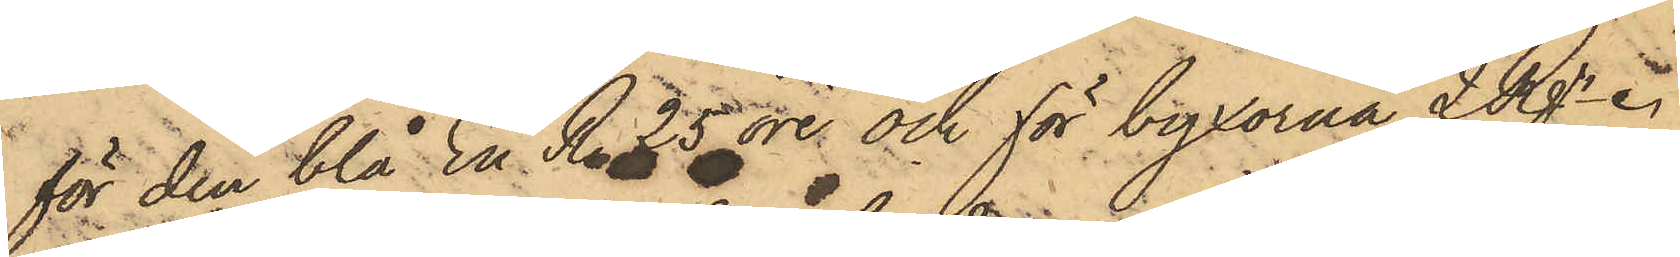för den blå En R. 25 öre och för byxorna 2 Rgr. 
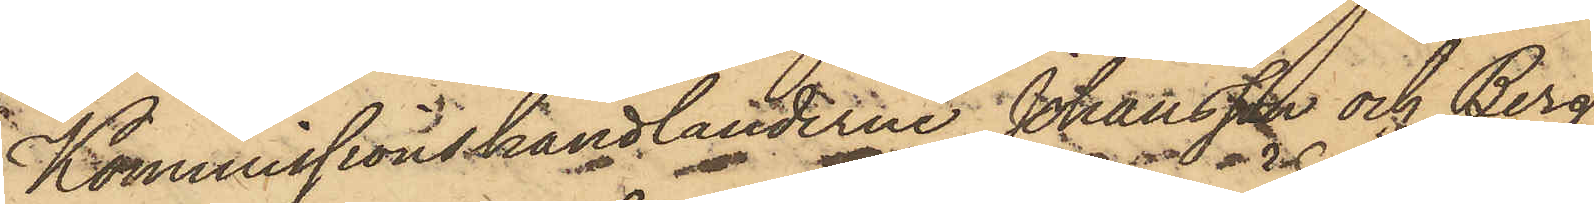Kommissionshandlanderna Johansson och Berg
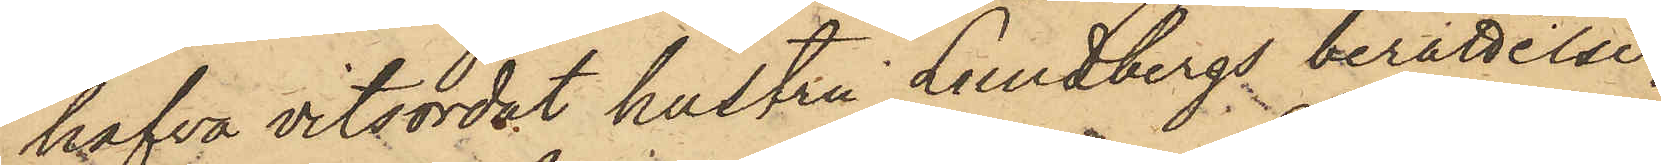hafva vitsordat hustru Lundbergs berättelse
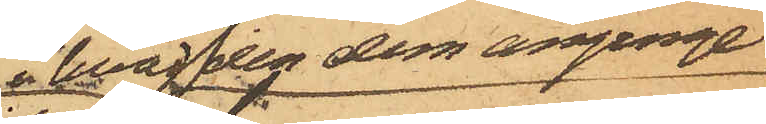i hvad den dem anginge
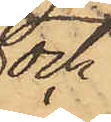och
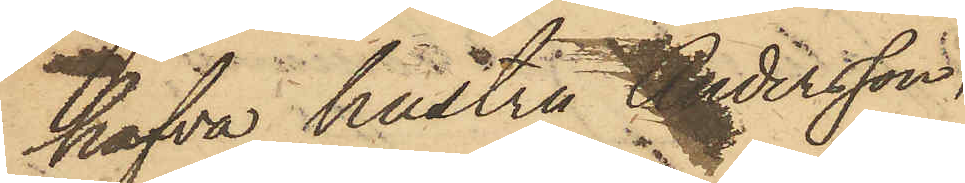hafva hustru Andersson,
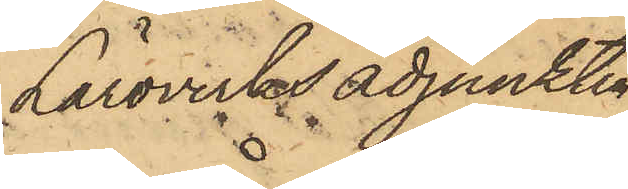Läroverksadjunkten
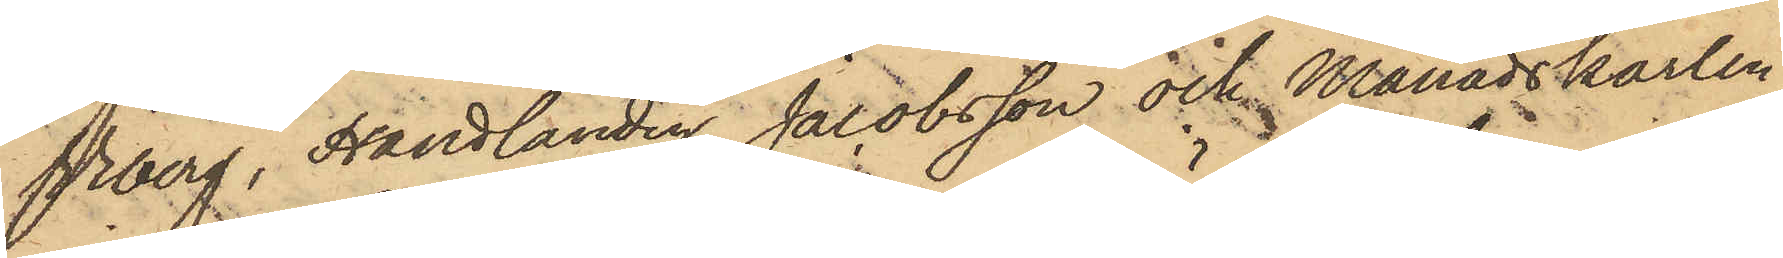Viberg, Handlanden Jacobsson och Månadskarlen
